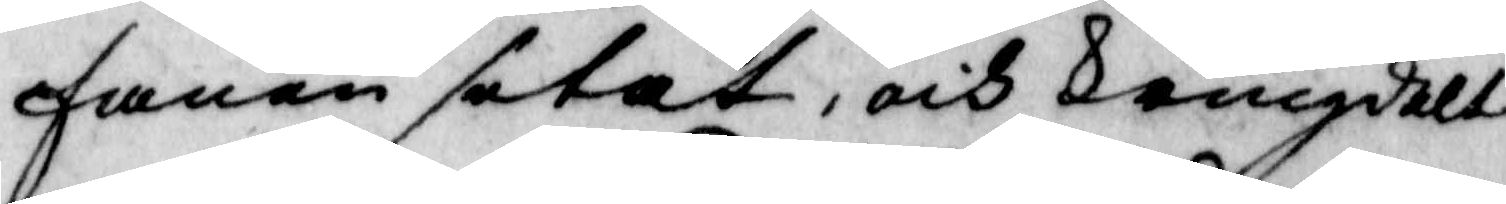fanen setat, och kringdelt
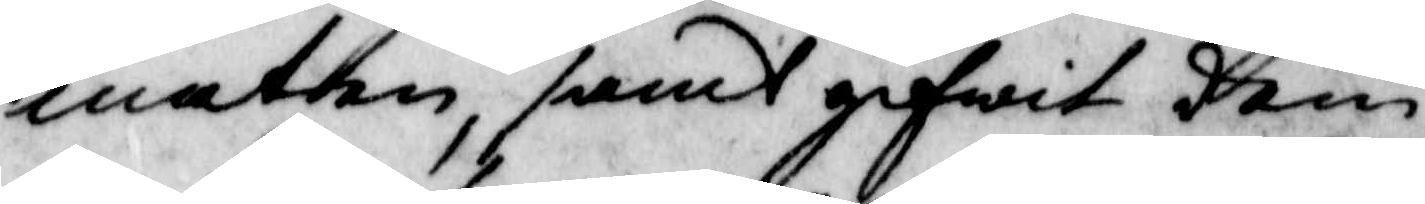maten samt gifwit dem
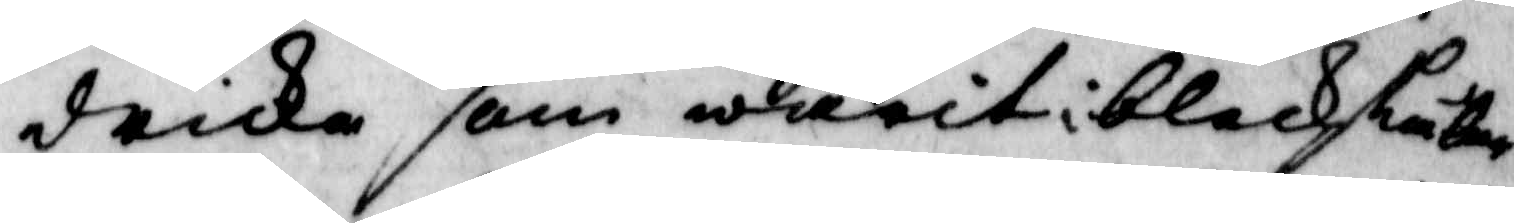dricka som warit i blecskåler
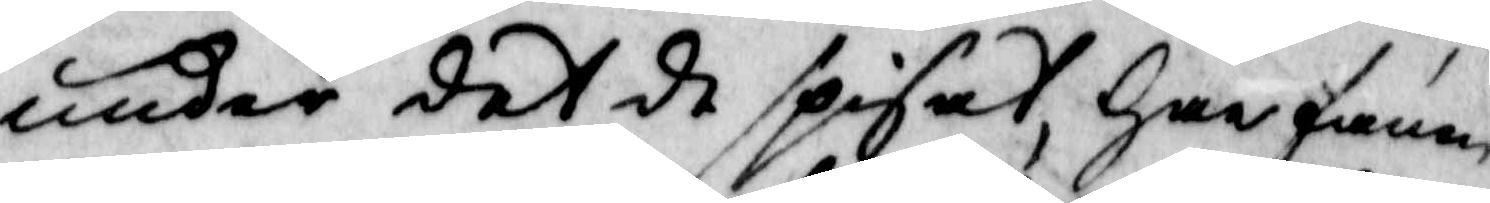under det de spisat, Har fann
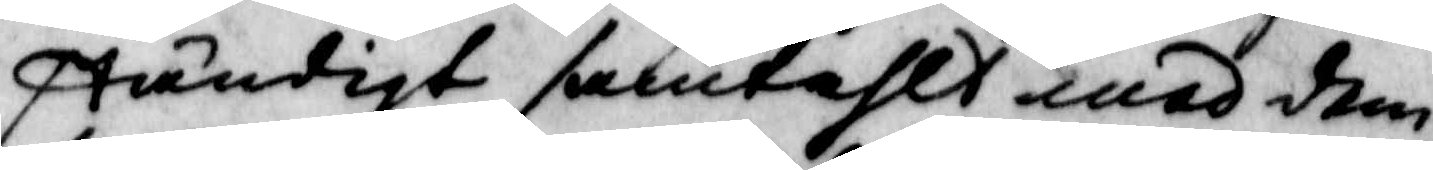ständigt samtahlt med dem,
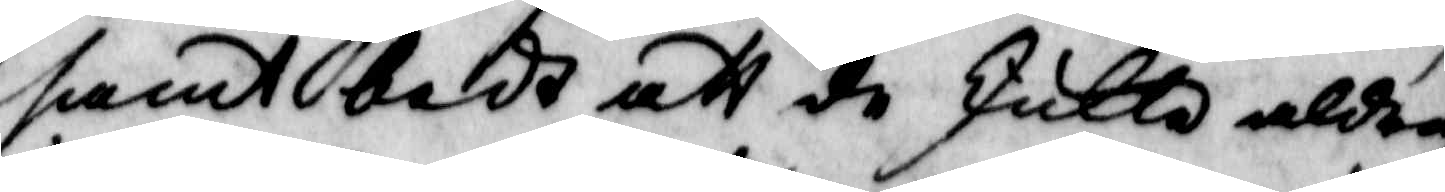samt bedt att de skullo aldrig
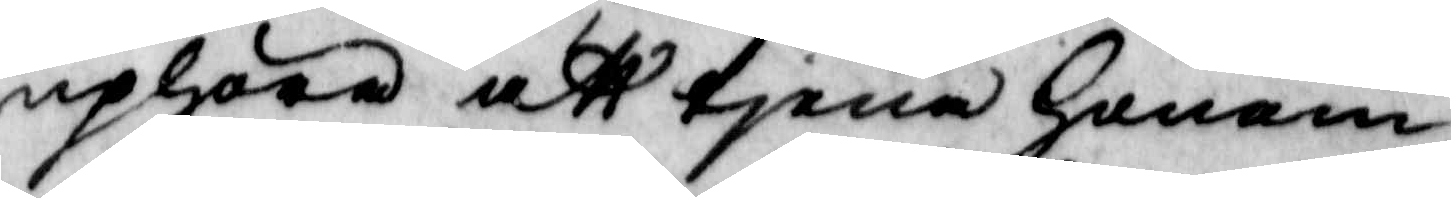uphöra att tjena Honom,
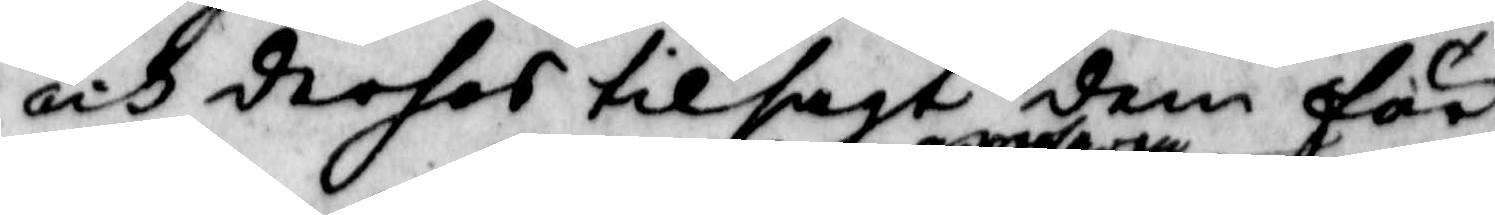och derhos tilsagt dem för¬
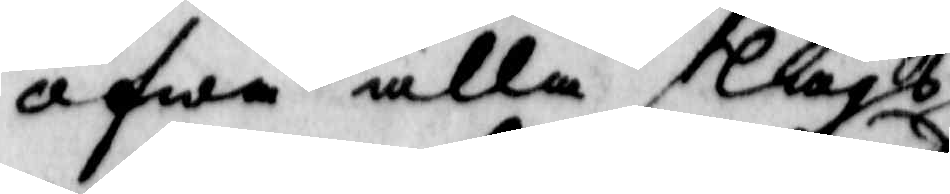öfwa alla slags  
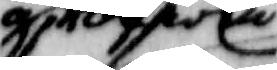grofwa
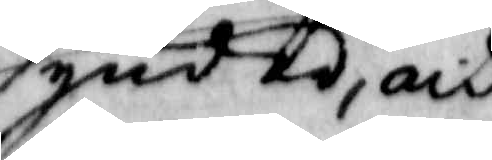synder, och
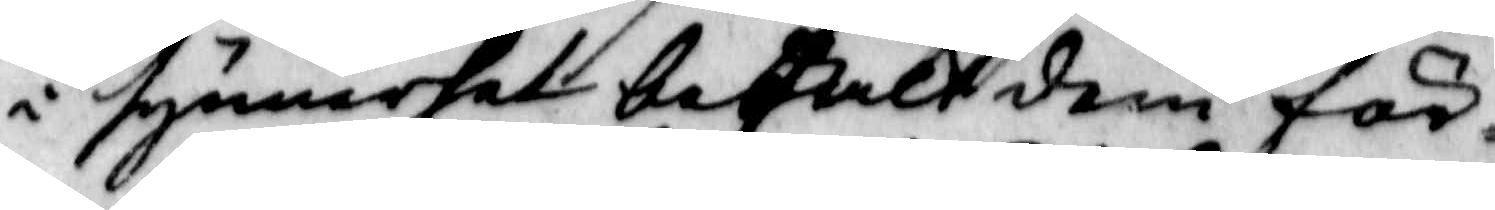i synnerhet befalt dem för¬
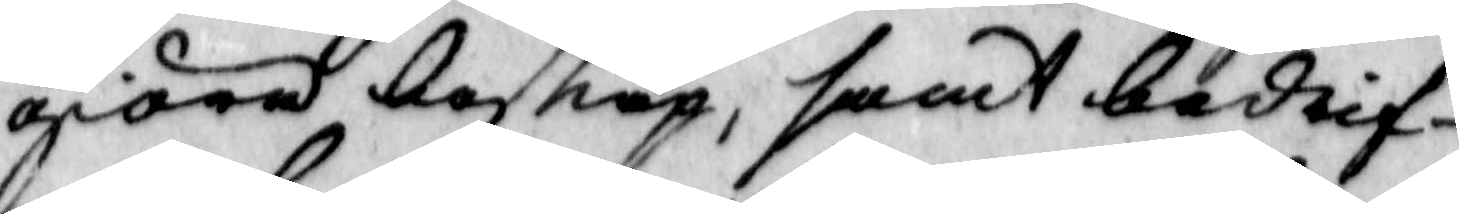giöra boskap, samt bedrif¬
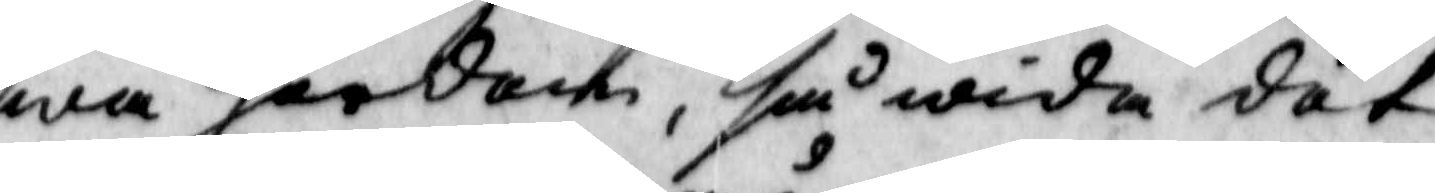wa hordom, så wida det
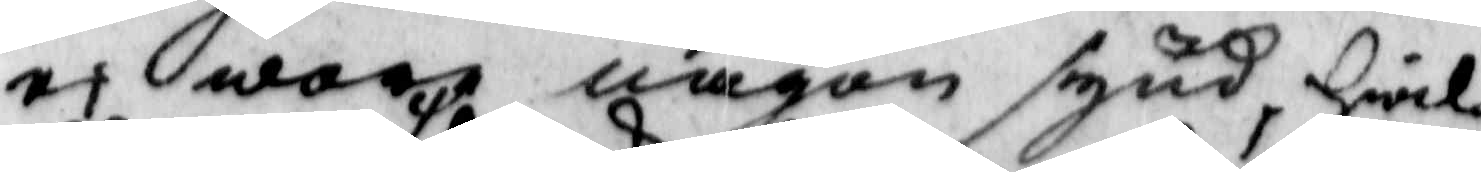ei wore någon synd, Hwil¬
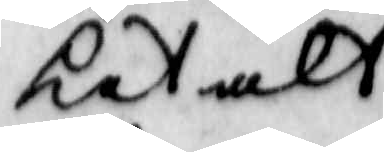ket alt 
